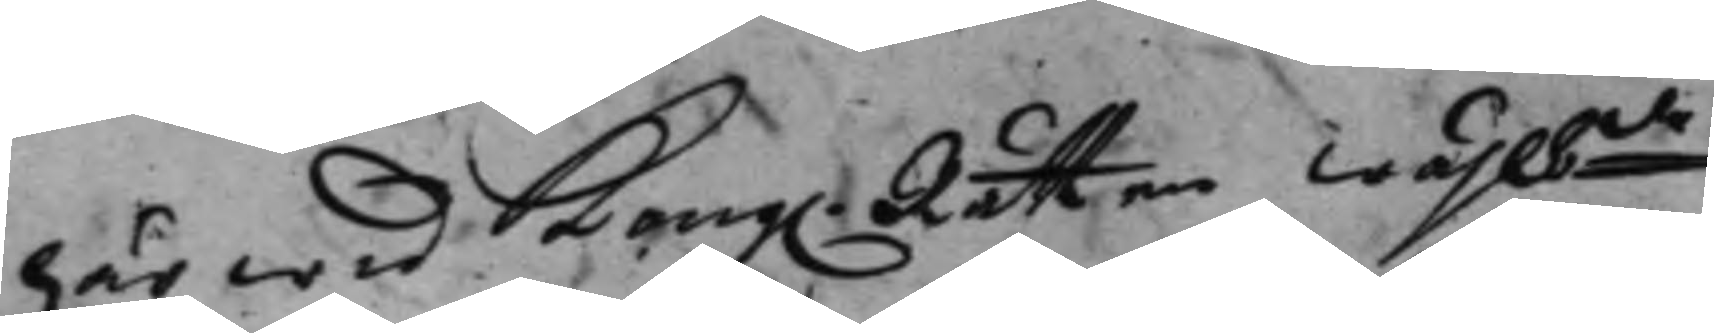här wid Kong. Rätten wählbde
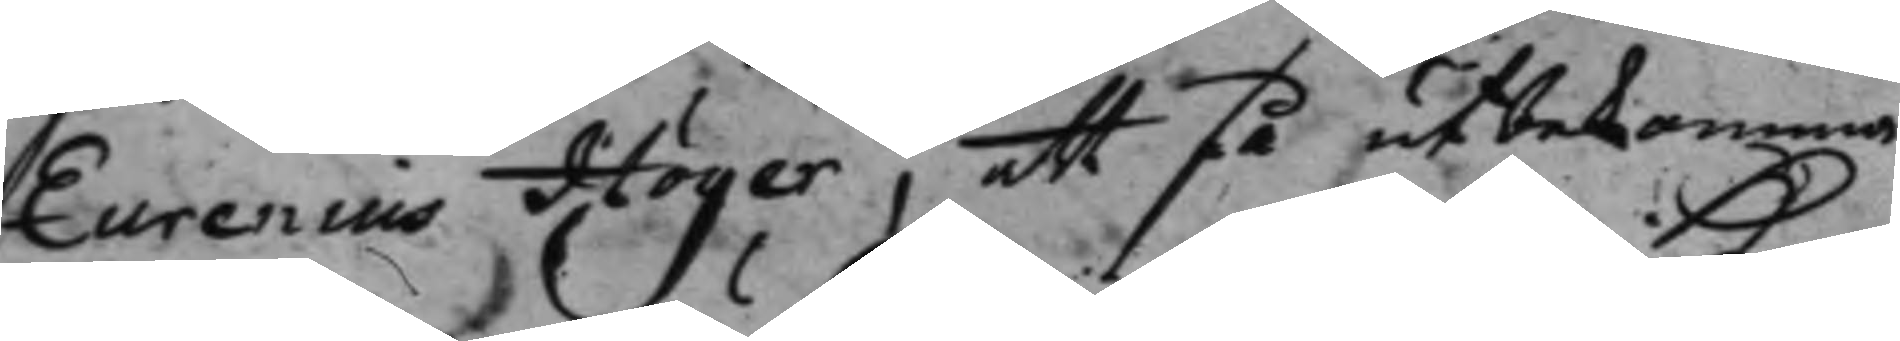Eurenius Höijer, att få utbekomma
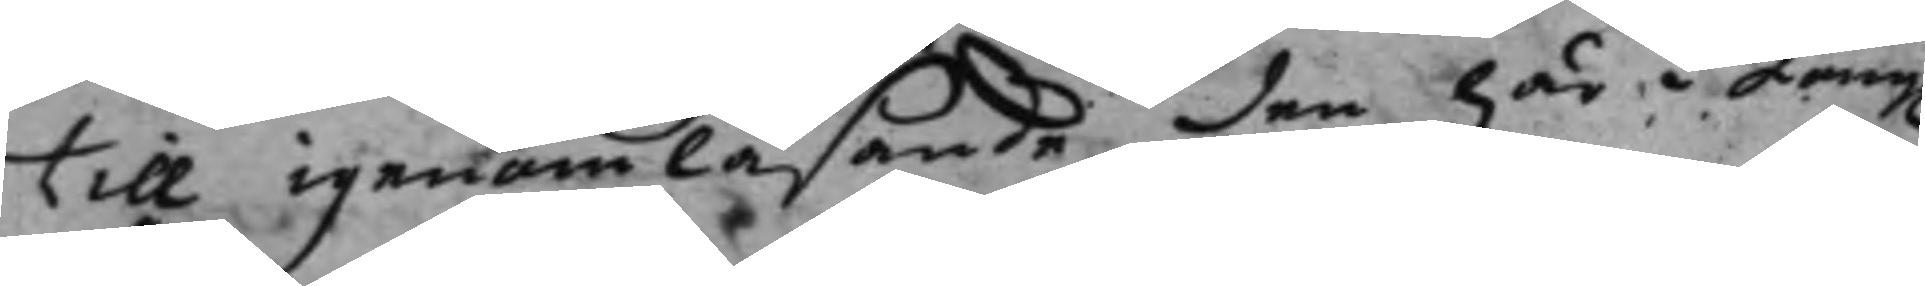till igenomläsande den här i Kong.
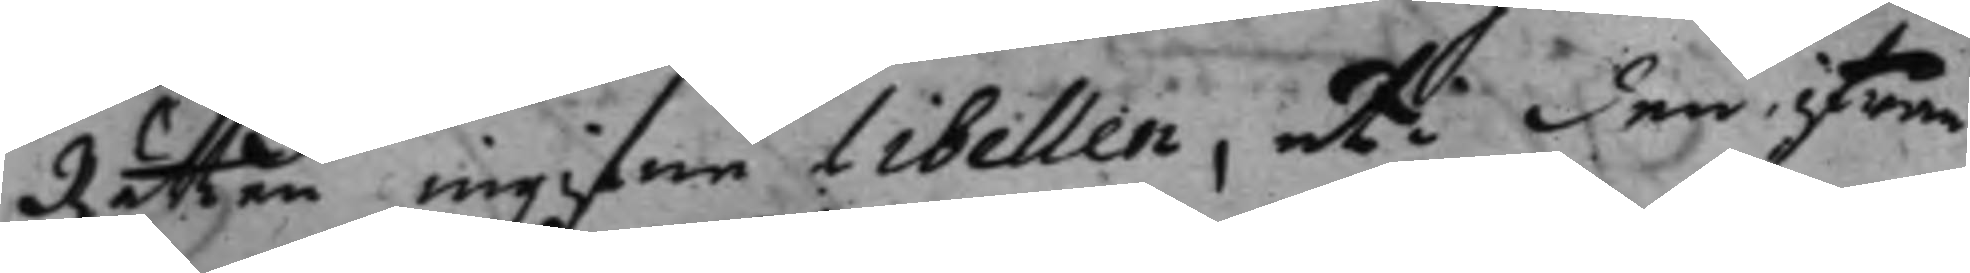Rätten ingifne libellen, uti den ifrån
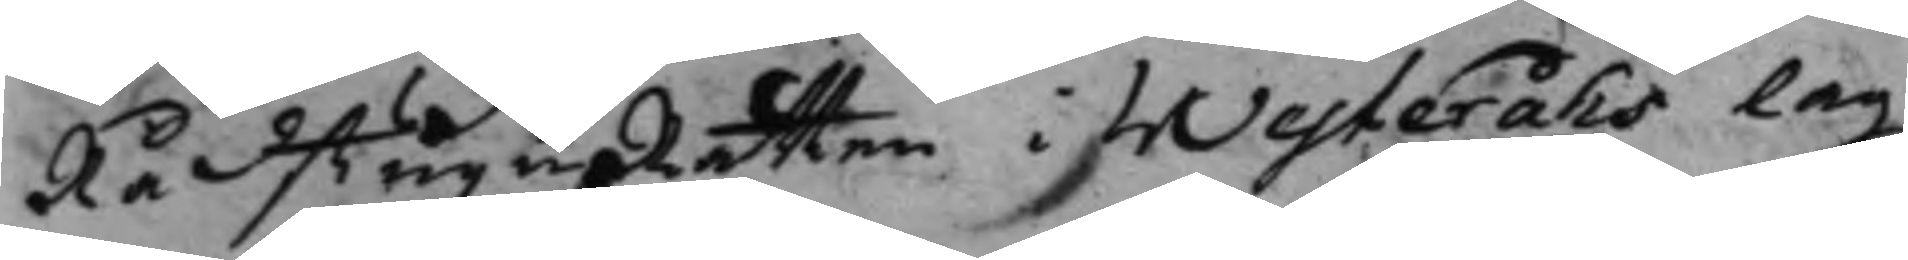RådstuguRätten i Westeråhs lag¬
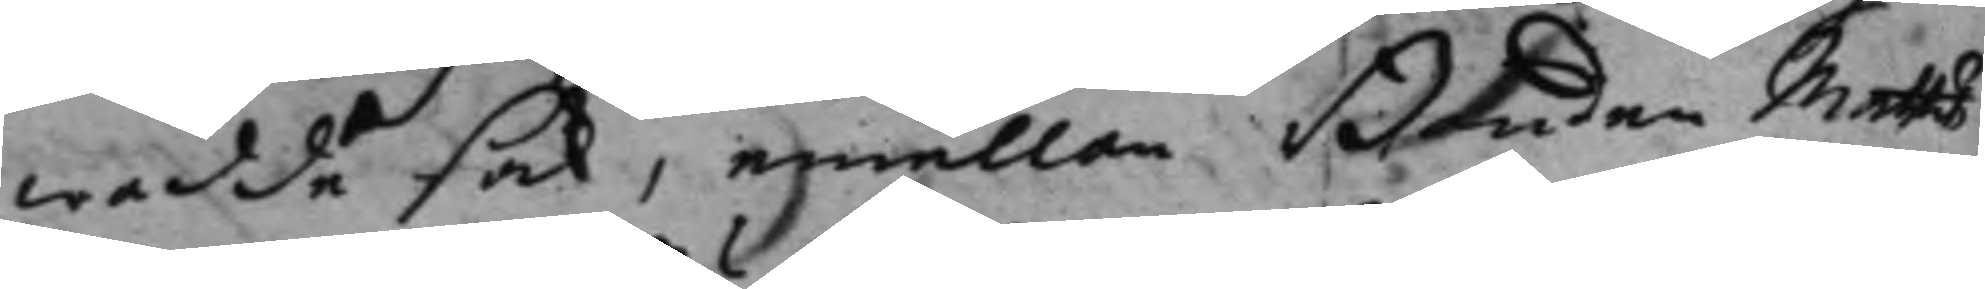redde sak, emellan Bonden Matts
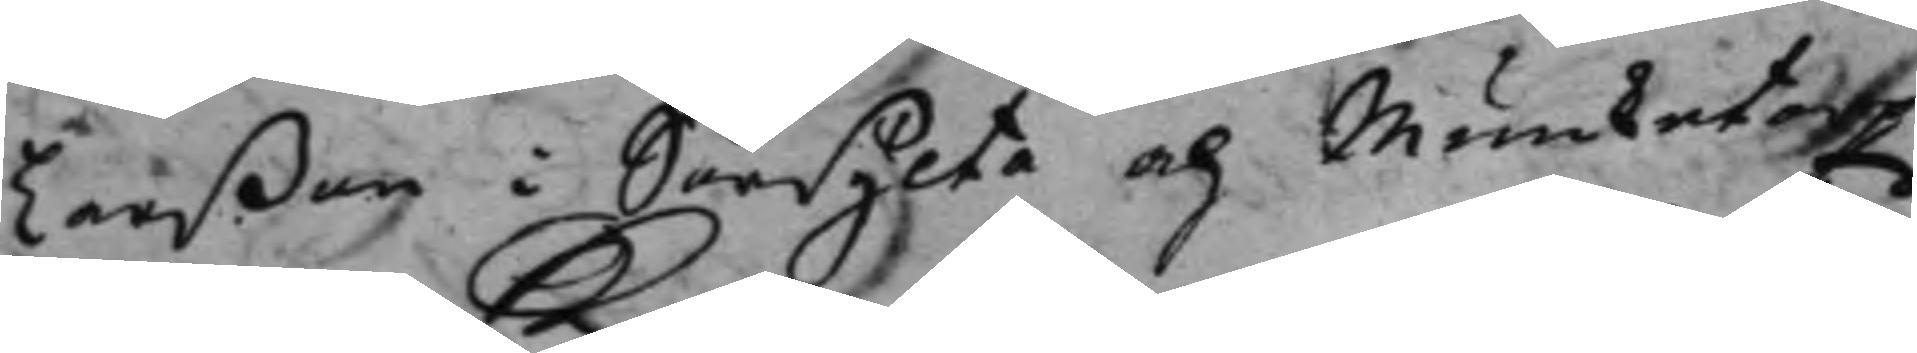Larßon i Sörsylta och Munketorps
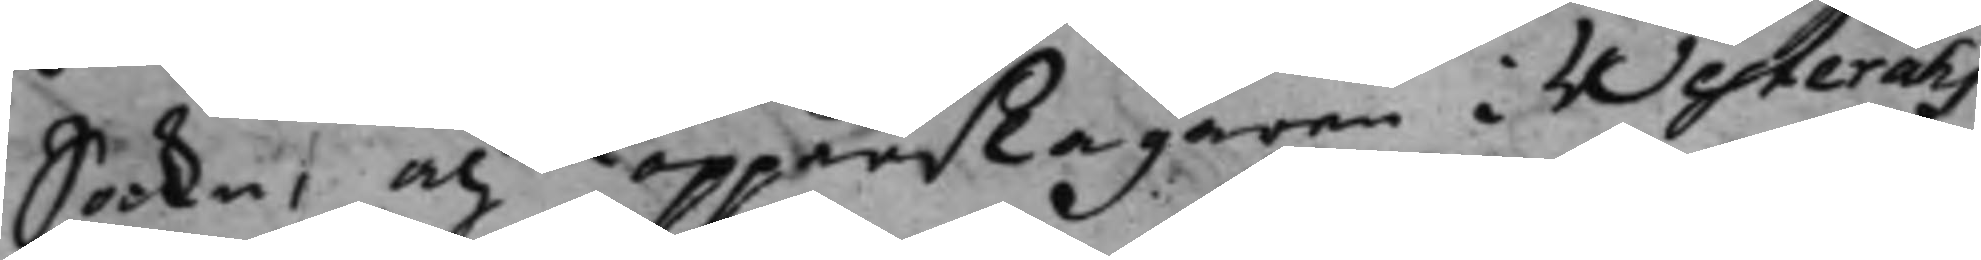Socken, och Kopparslagaren i Westeråhs
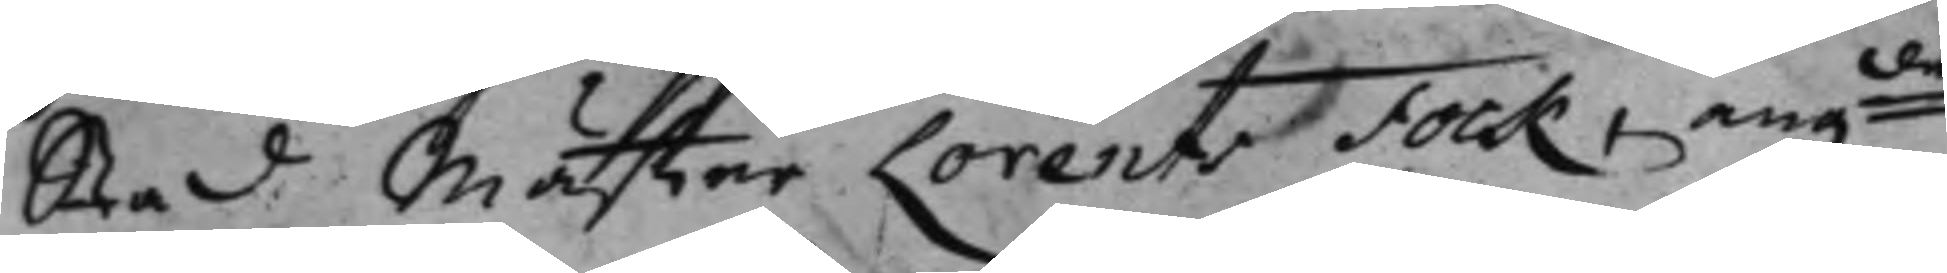Stad Mäster Lorents Fock, angde
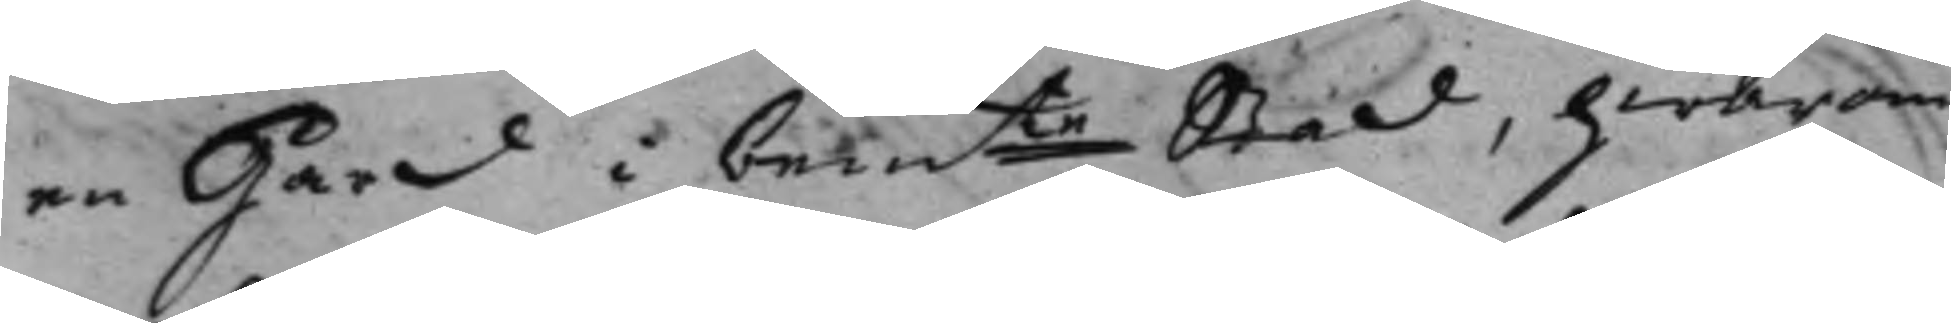en Gård i bemte Stad, hwarom
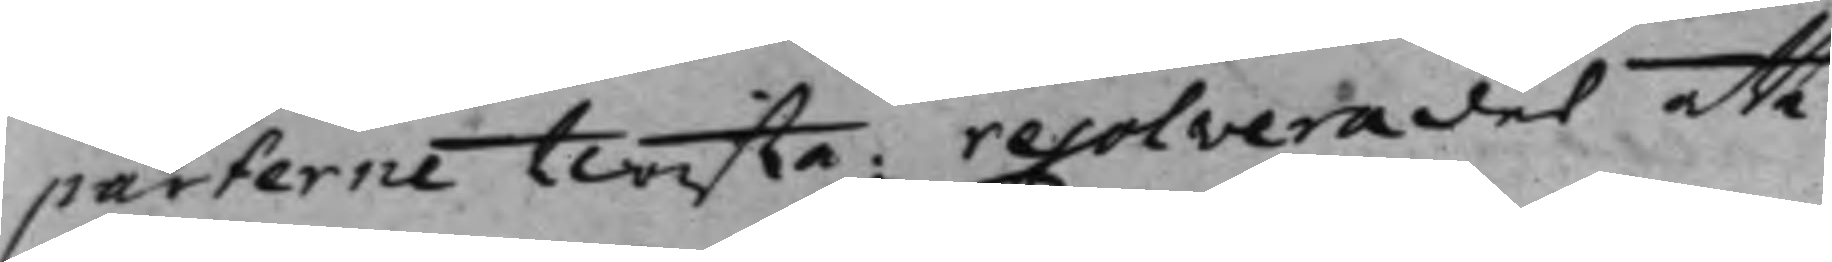parterne twista. resolverades att
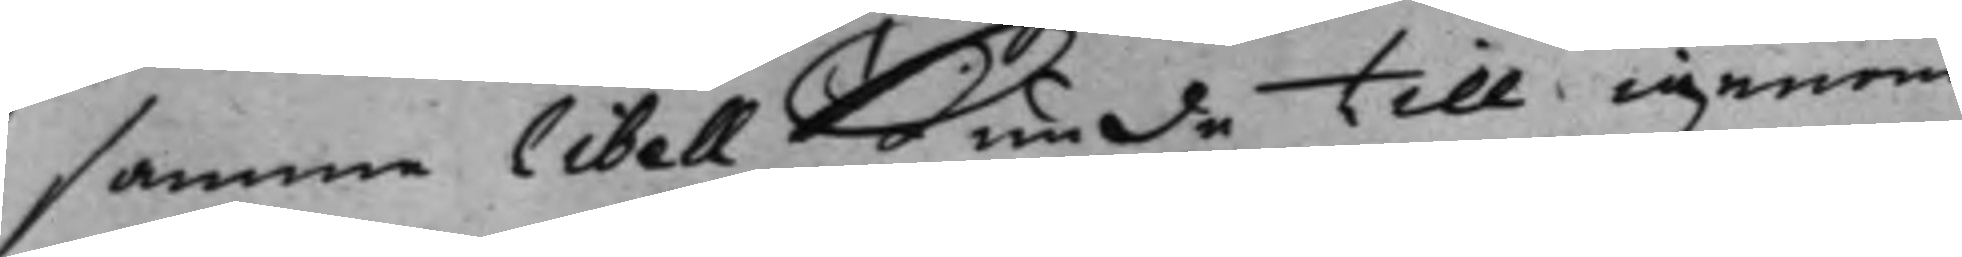samma libell kunde till igenom¬
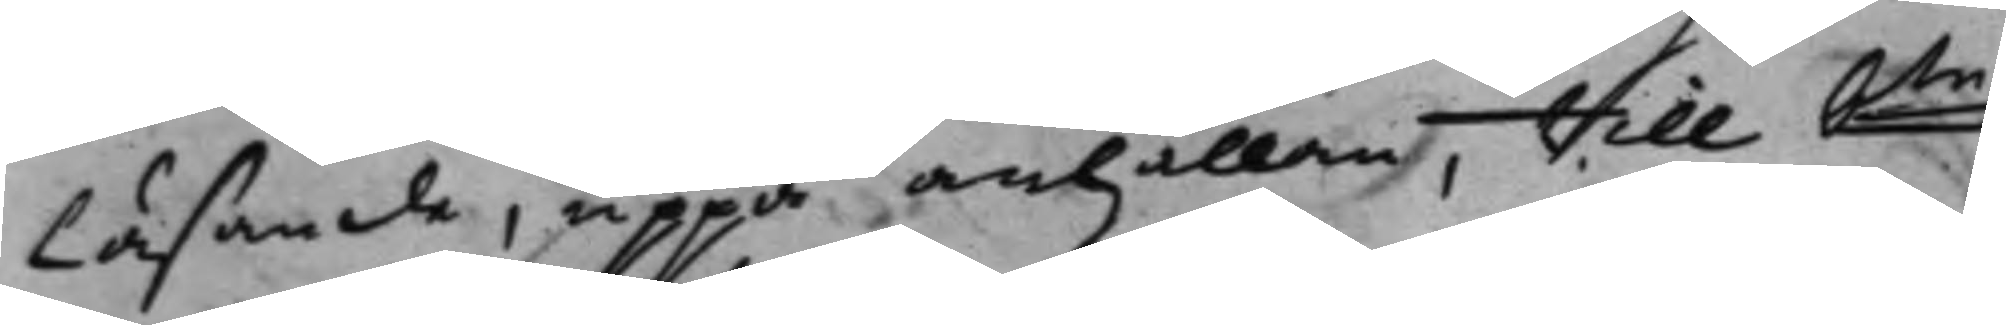läsande, uppå anhållan, till bte
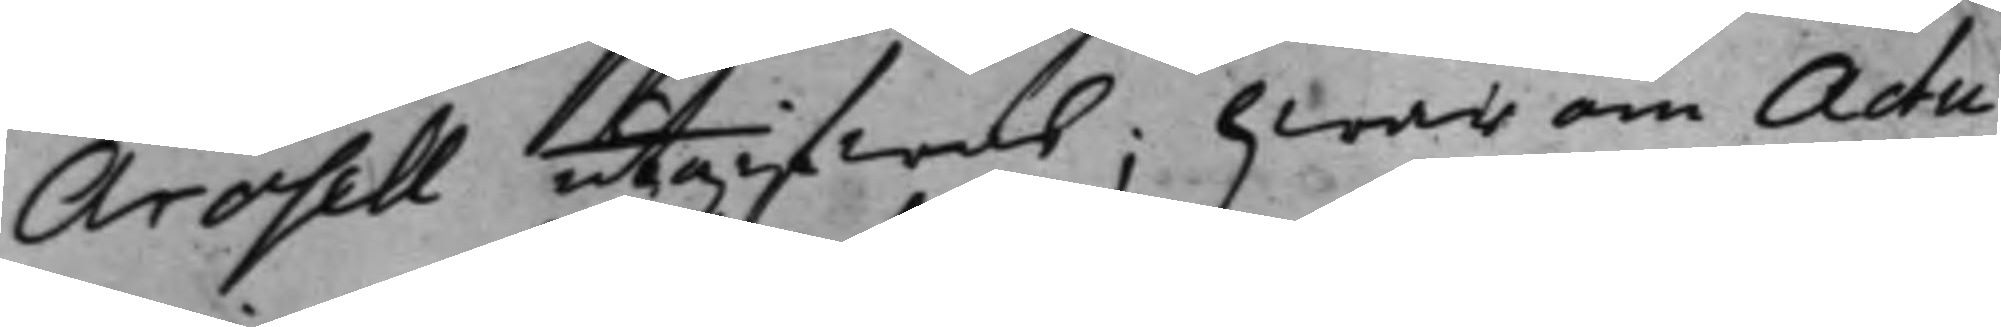Arosell utgifwas; hwarom Actu¬
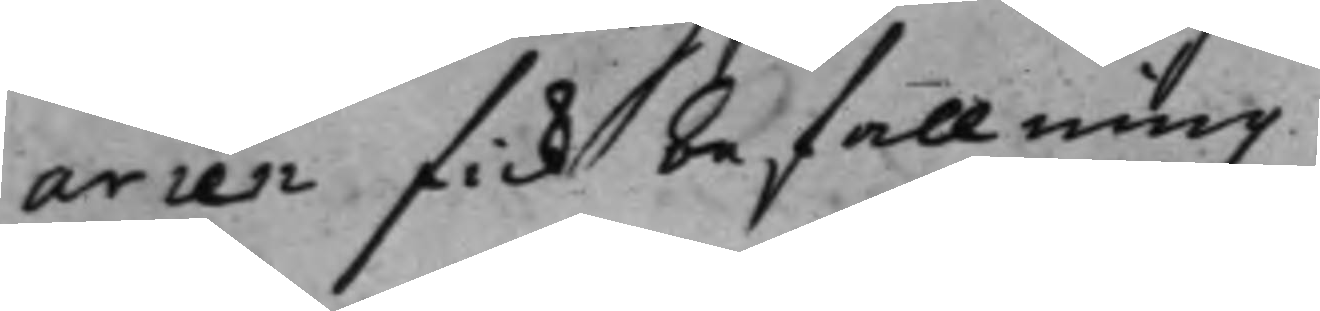arien fick befallning.
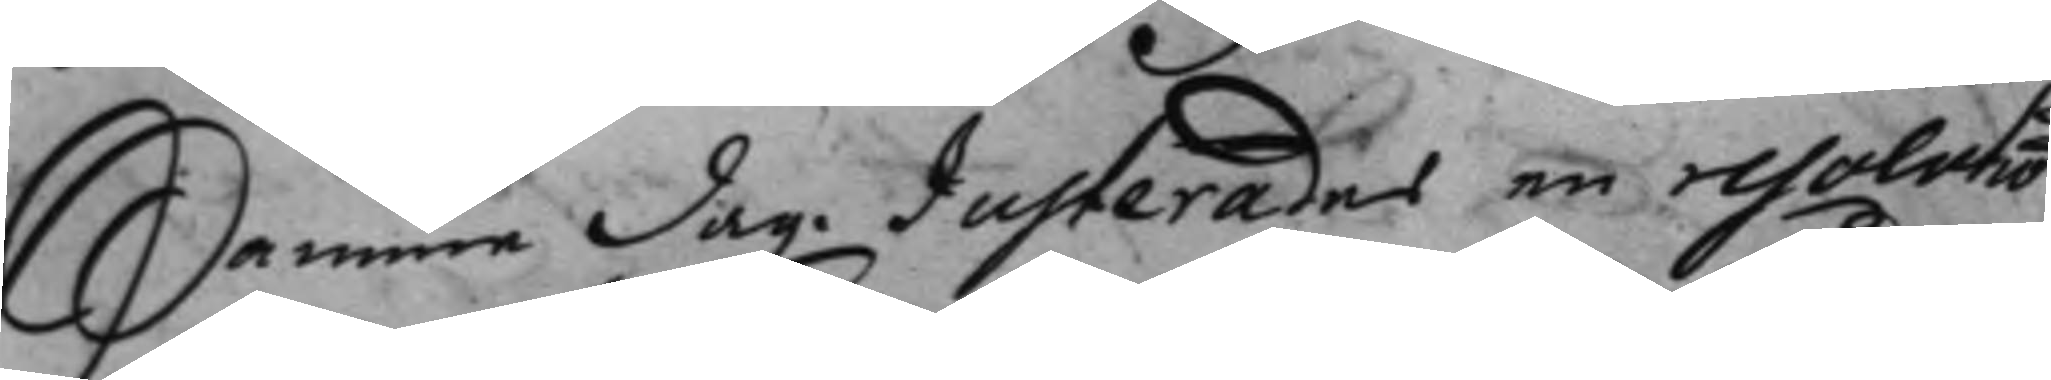Samme dag. Justerades en resolutio
